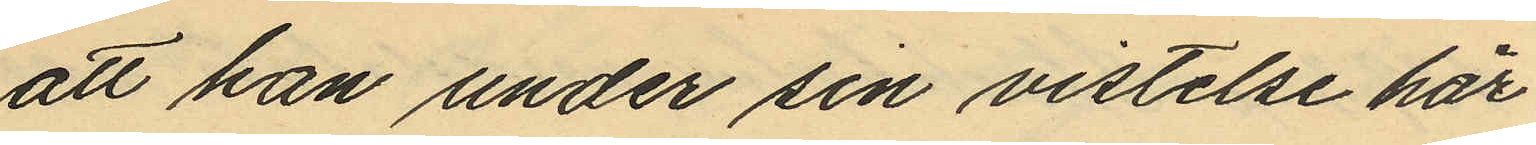att han under sin vistelse här
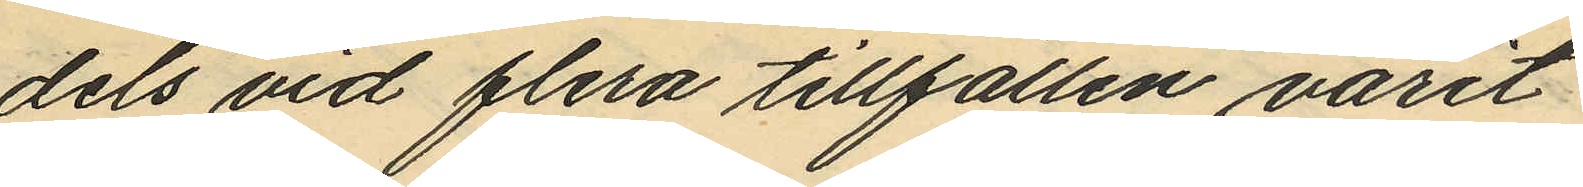dels vid flera tillfällen varit
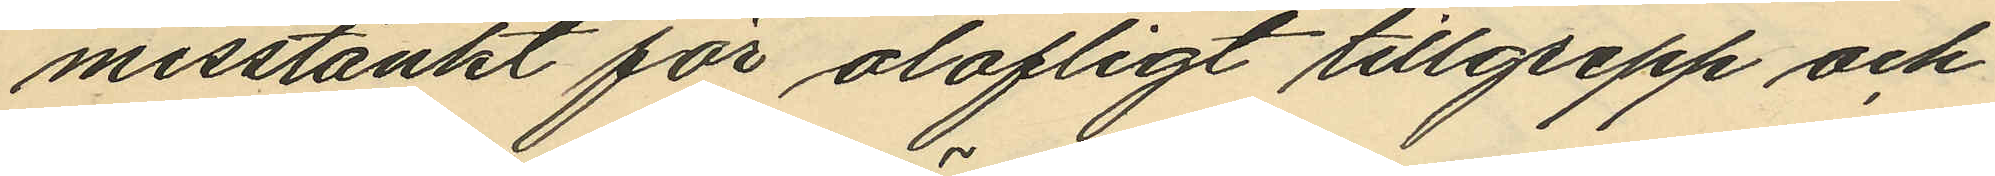misstänkt för olofligt tillgrepp och
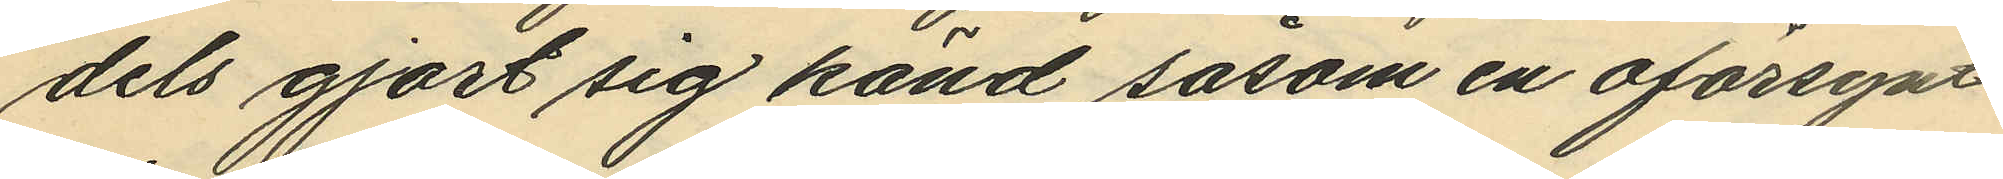dels gjort sig känd såsom en oförsynt
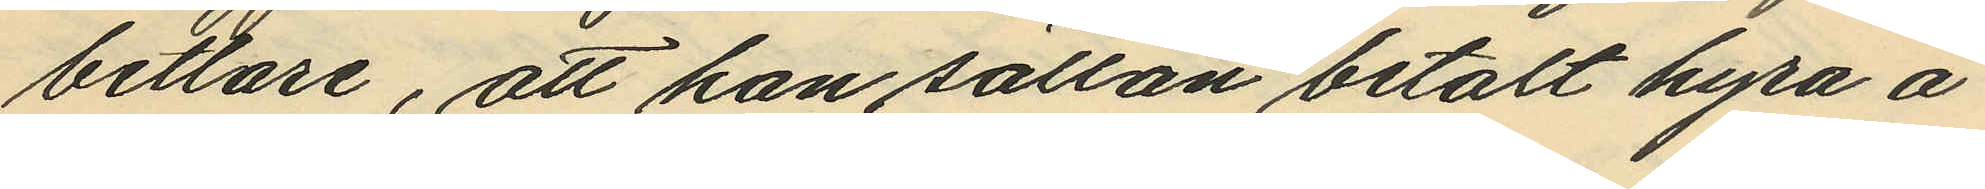betlare, att han sällan betalt hyra å
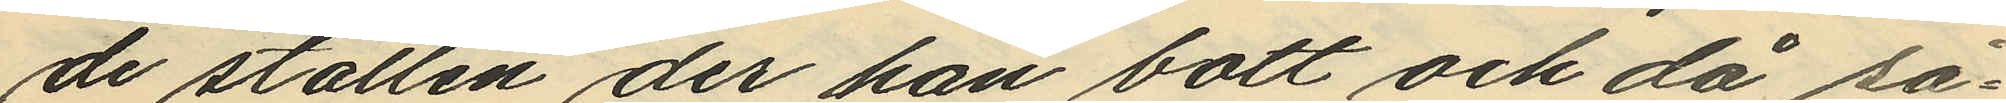de ställen der han bott och då så¬
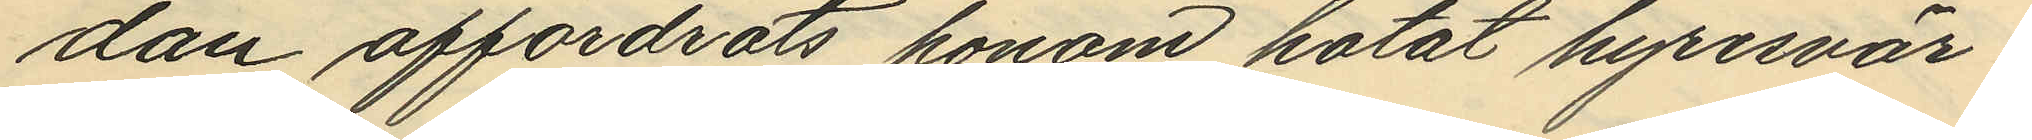dan affordrats honom hotat hyresvär¬
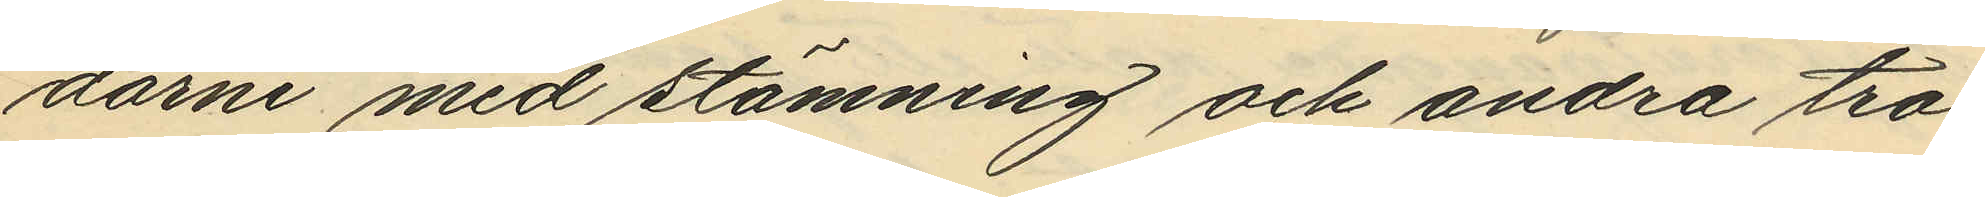darne med stämning och andra tra¬
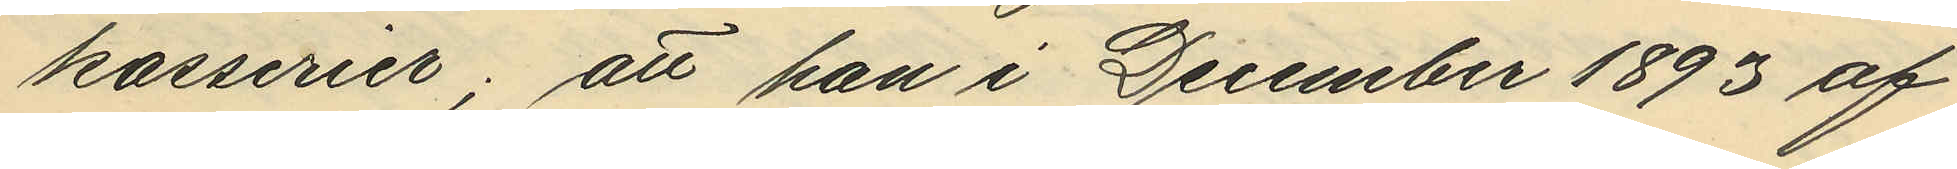kasserier; att han i December 1893 af
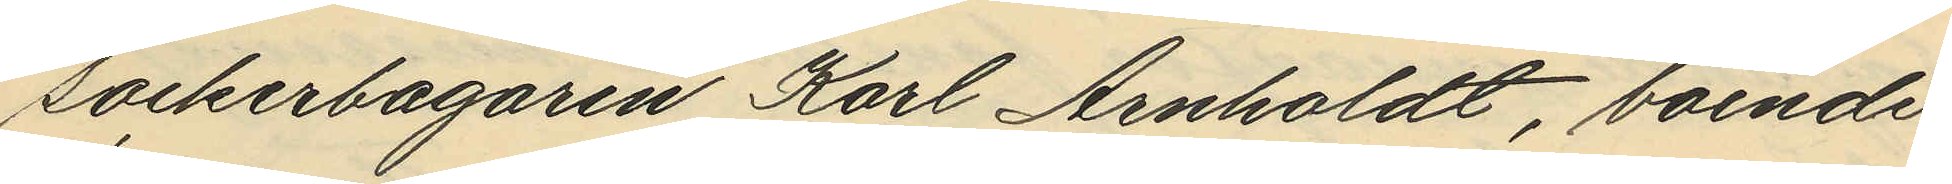sockerbagaren Karl Arnholdt, boende
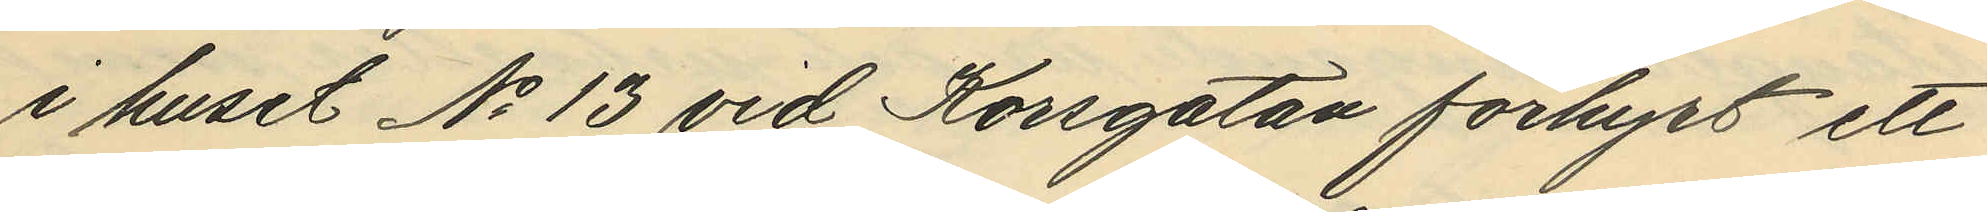i huset No 13 vid Korsgatan förhyrt ett
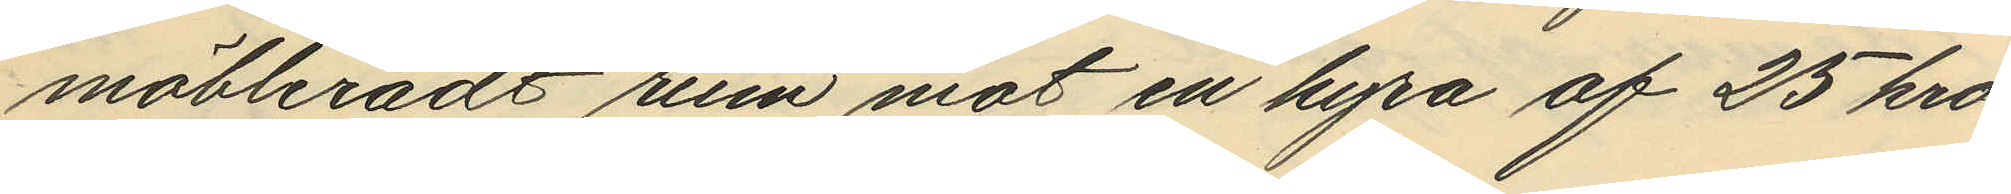möbleradt rum mot en hyra af 25 kro¬
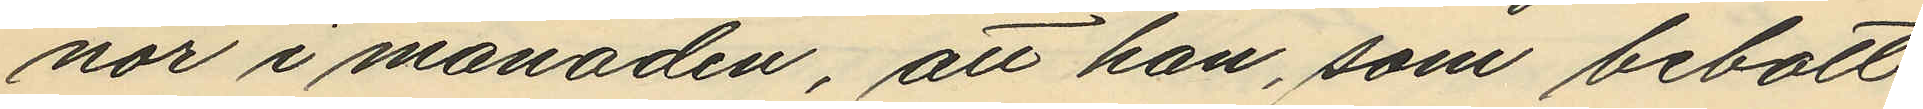nor i månaden, att han, som bebott
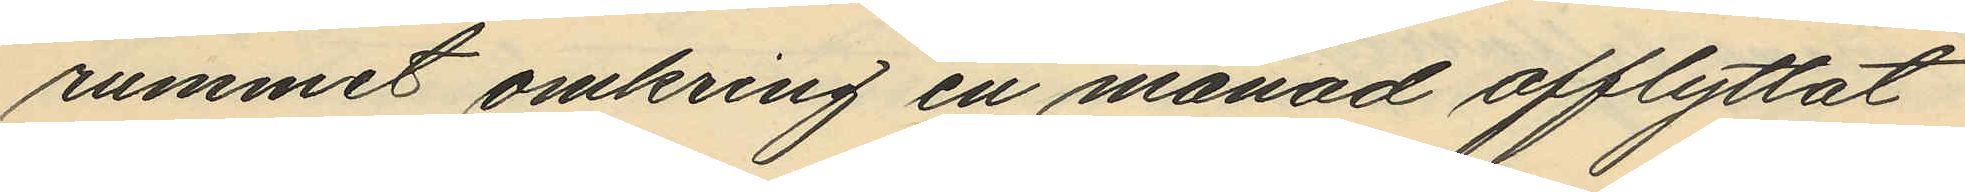rummet omkring en månad afflyttat
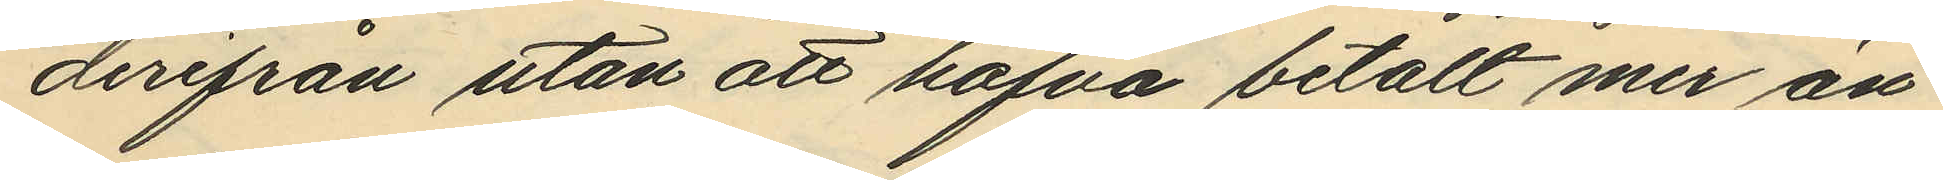derifrån utan att hafva betalt mer än
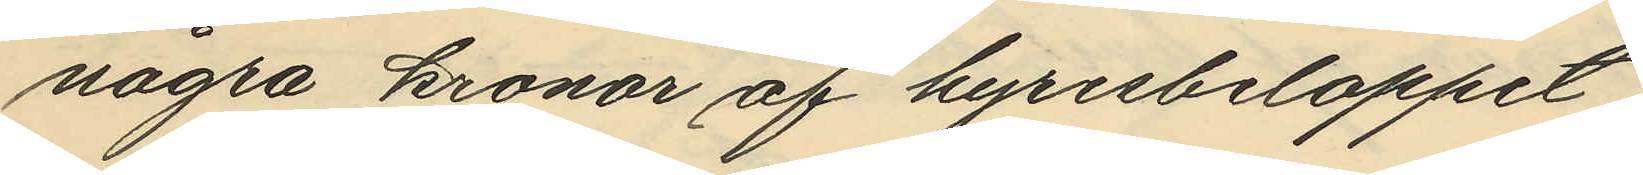några kronor af hyresbeloppet,
